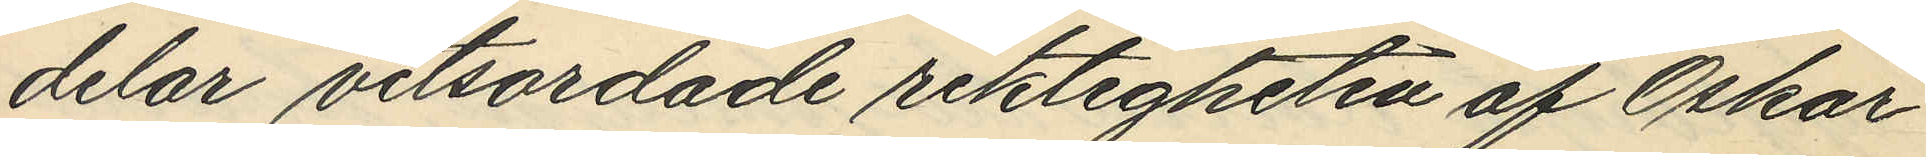delar vitsordade riktigheten af Oskar
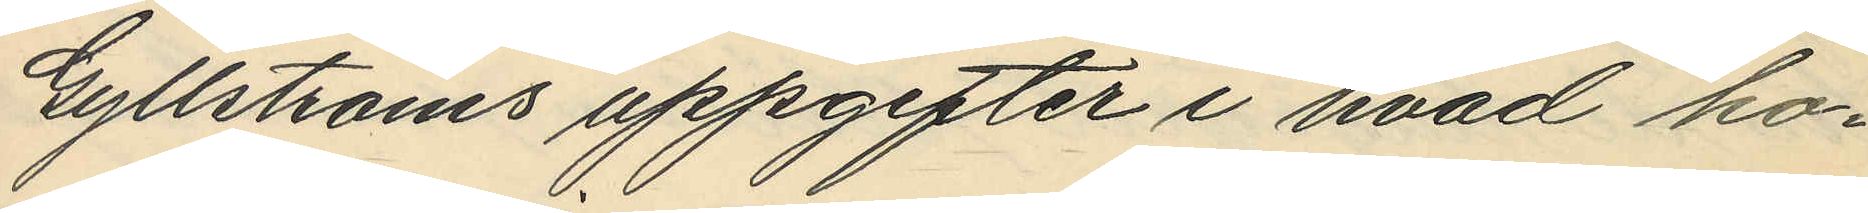Gyllströms uppgifter i hvad hon¬
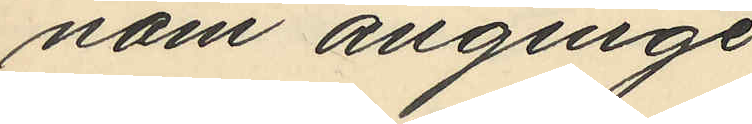nom anginge.
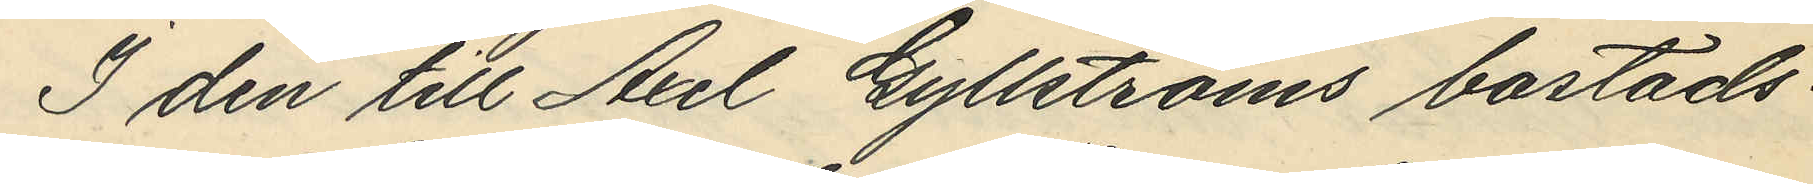I den till Axel Gyllströms bostads¬
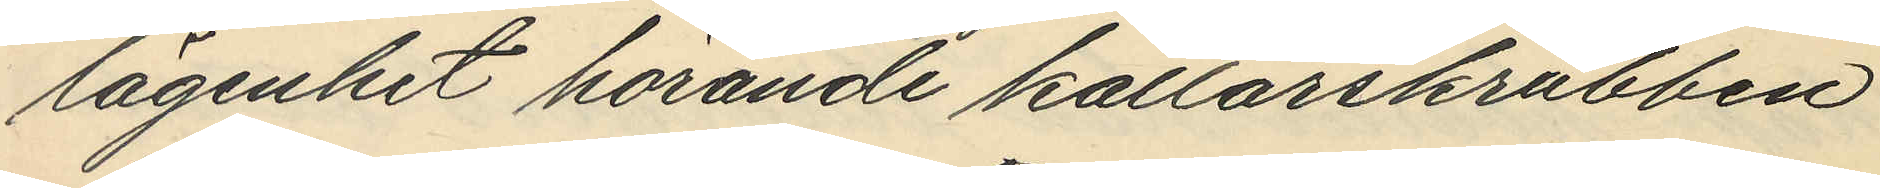lägenhet hörande källarskrubben
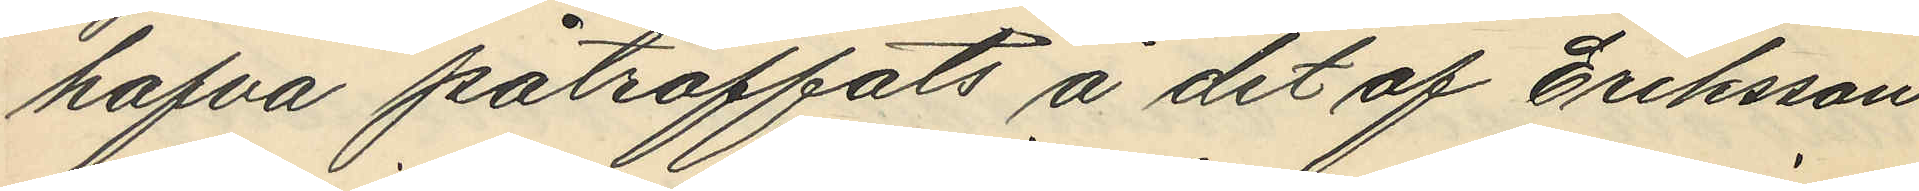hafva påträffats å det af Eriksson
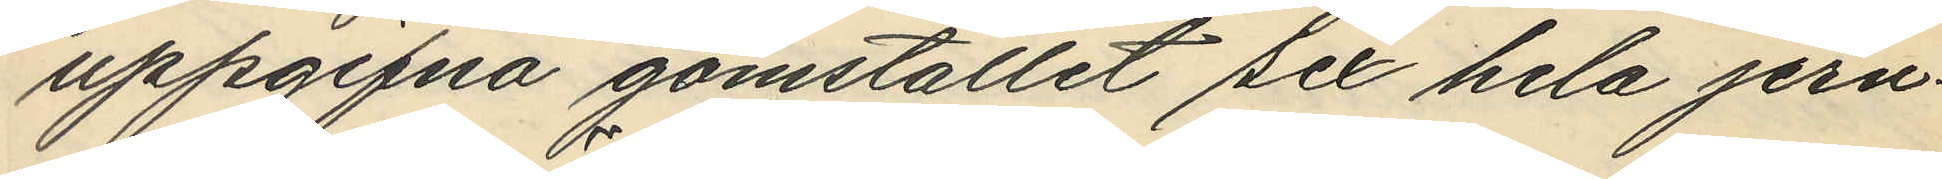uppgifna gömstället sex hela jern¬
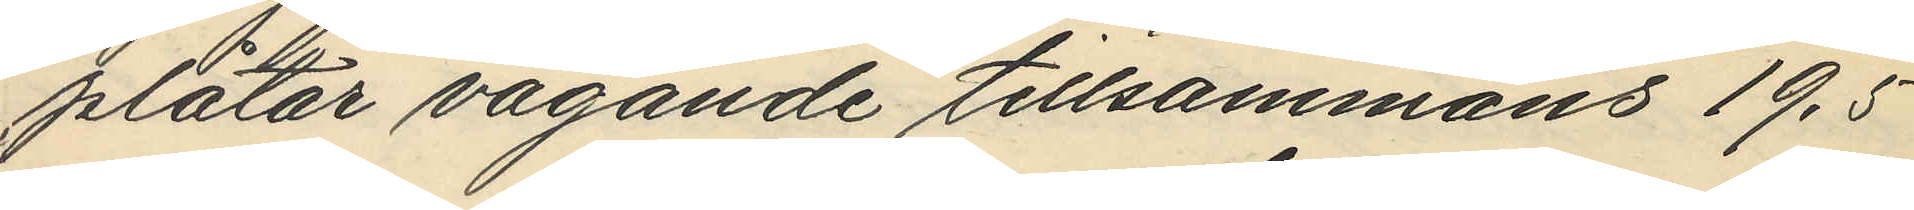plåtar vägande tillsammans 19,5
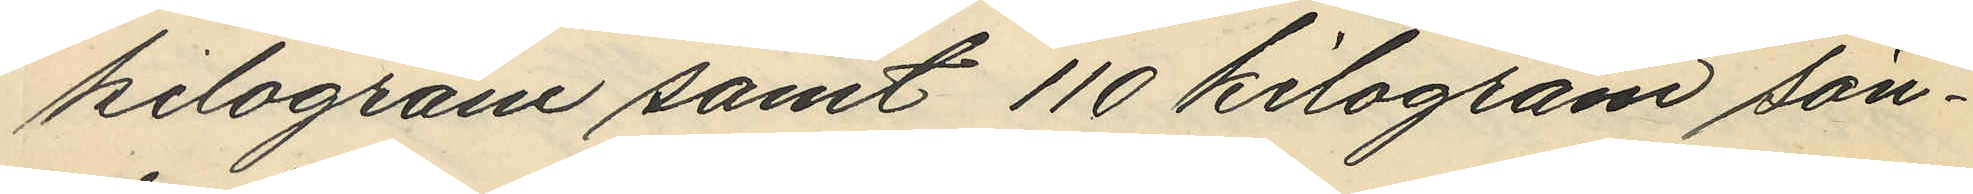kilogram samt 110 kilogram sön¬
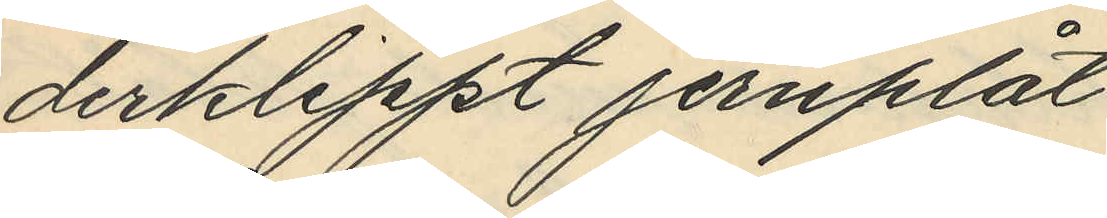derklippt jernplåt
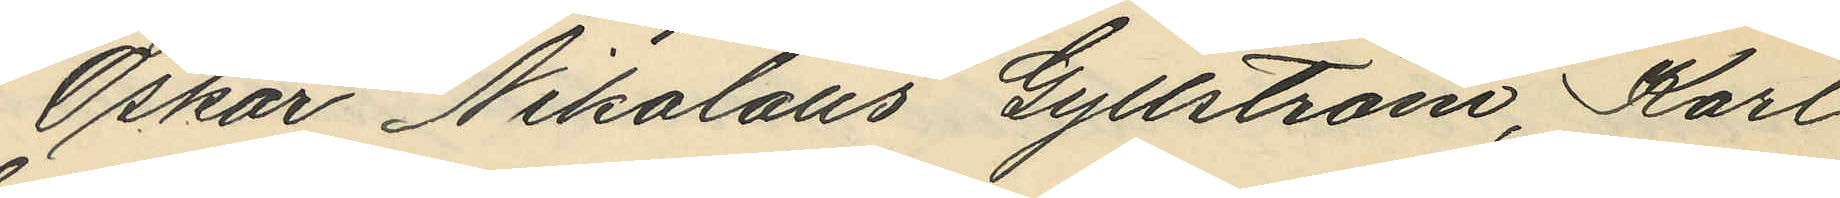Oskar Nikolaus Gyllström, Karl
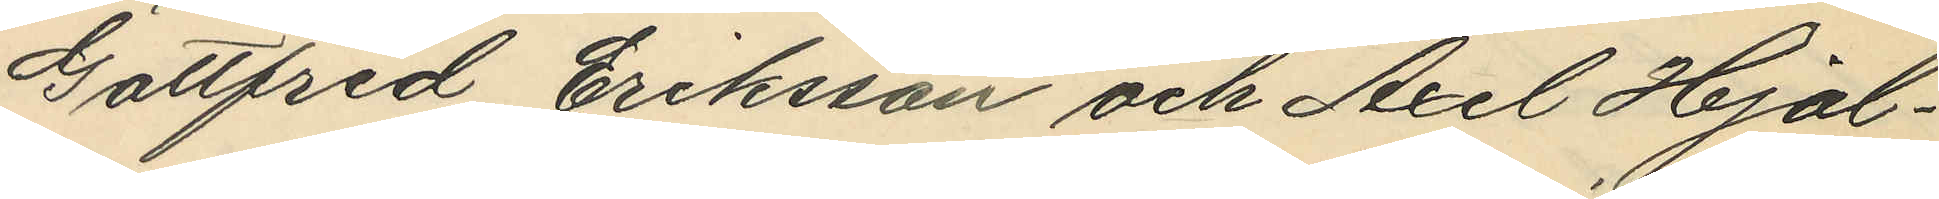Gottfrid Eriksson och Axel Hjal¬
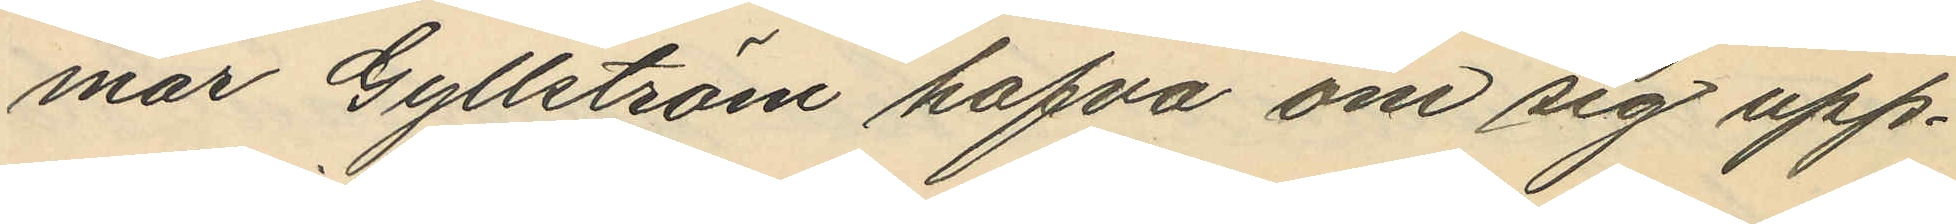mar Gyllström hafva om sig upp¬
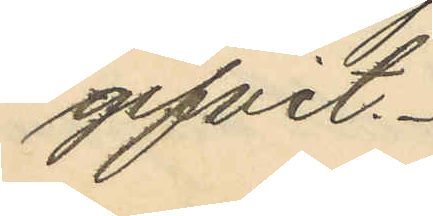gifvit.
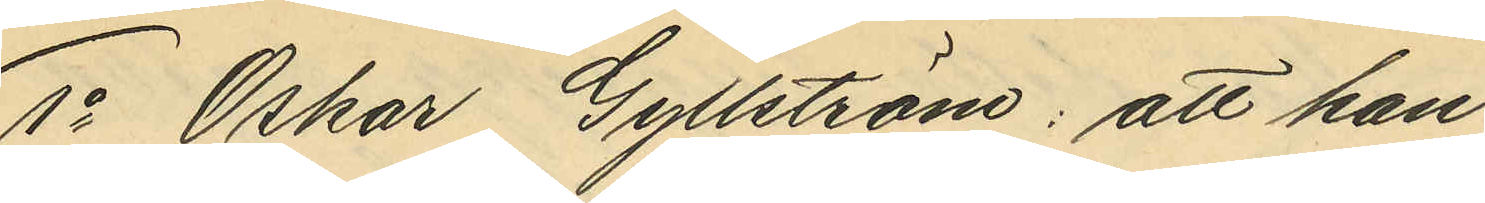1o Oskar Gyllström: att han
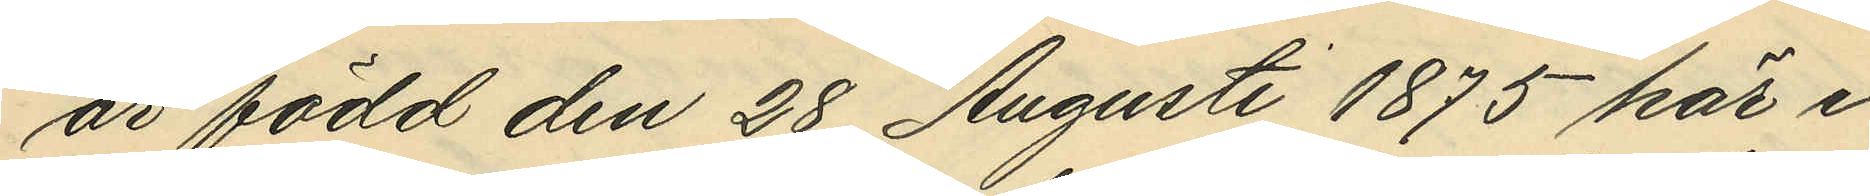är född den 28 Augusti 1875 här i
